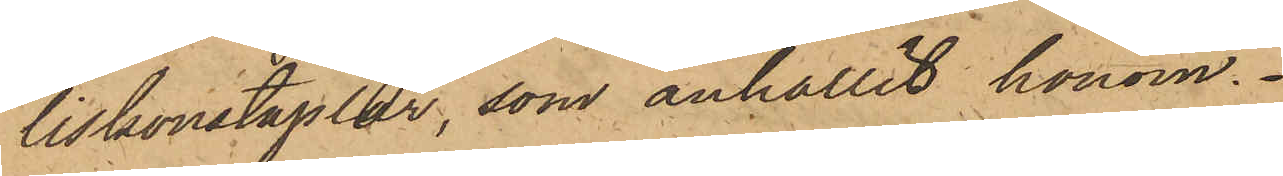liskonstaplar, som anhållit honom.
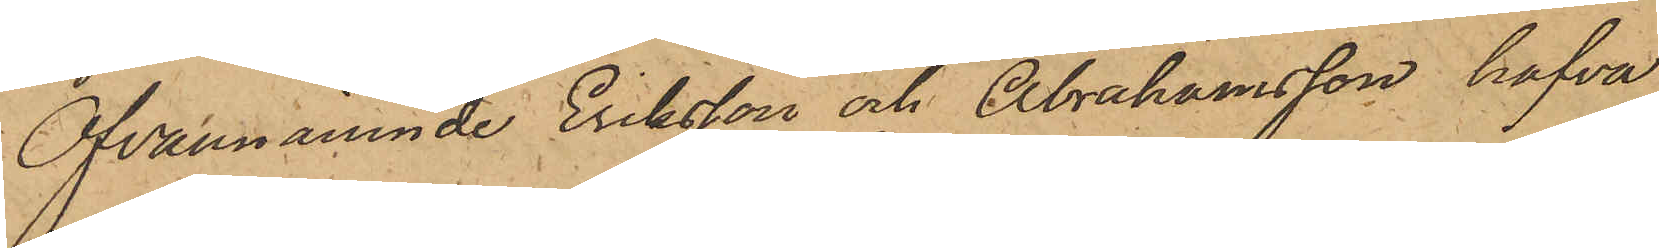Ofvannämnde Eriksson och Abrahamsson hafva
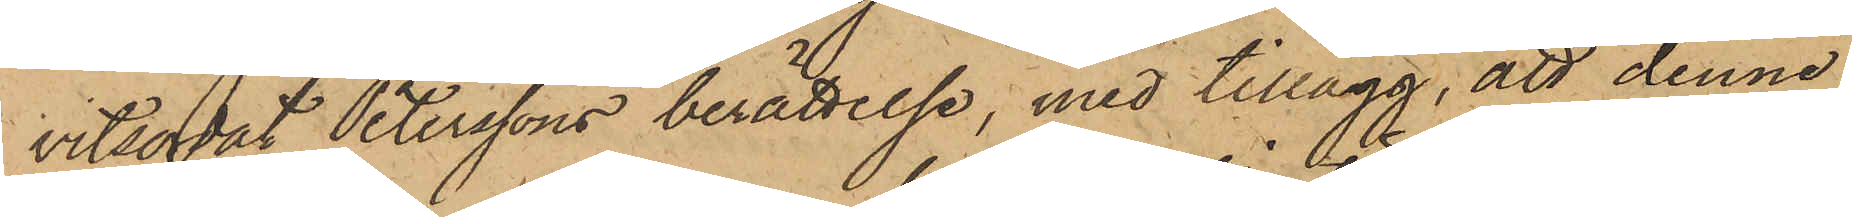vitsordat Peterssons berättelse, med tillägg, att denne
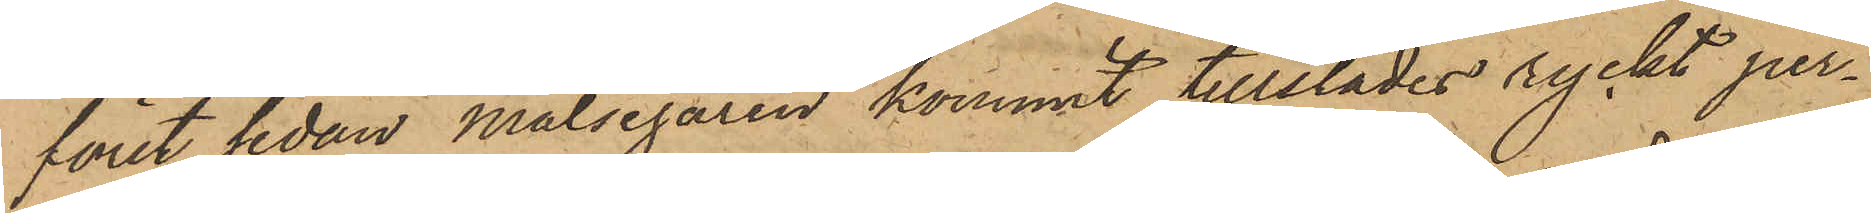först sedan Målsegaren kommit tillstädes ryckt per¬
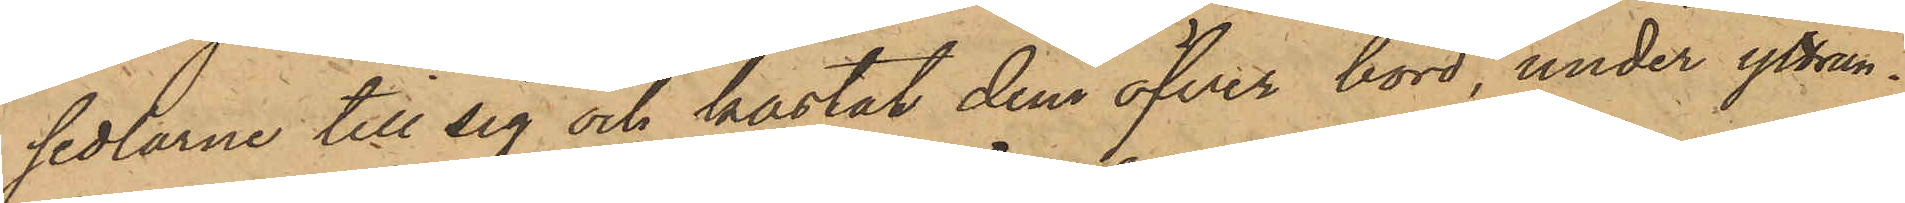sedlarne till sig och kastat dem öfver bord, under yttran¬
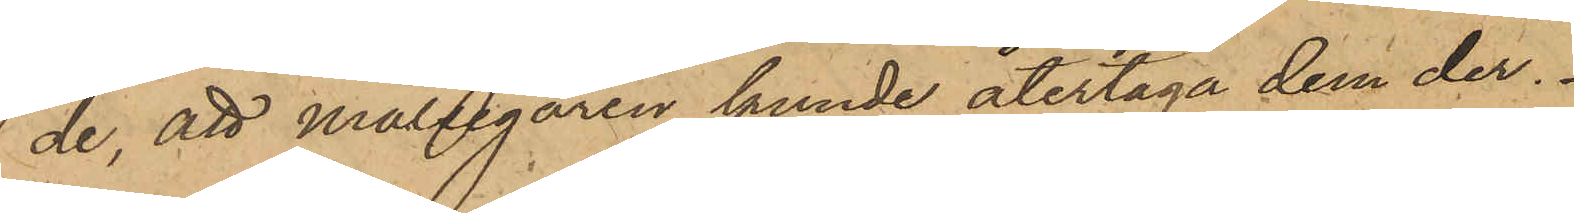de, att Målsegaren kunde återtaga dem der.
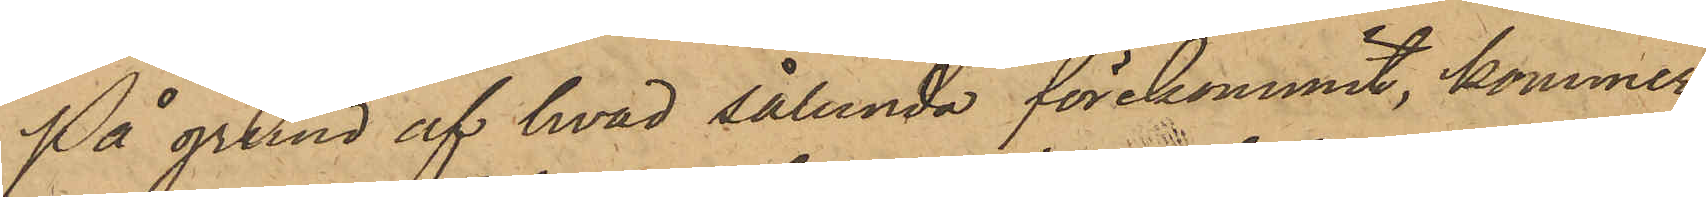På grund af hvad sålunda förekommit, kommer
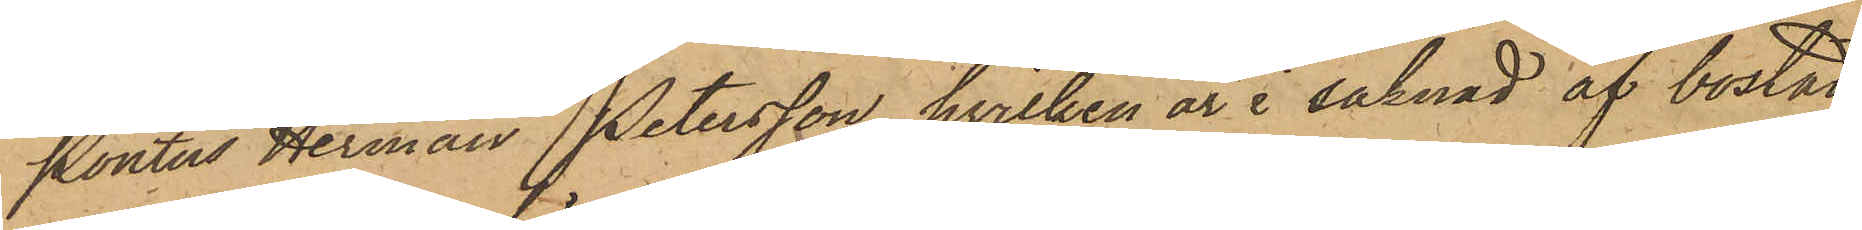Pontus Herman Petersson, hvilken är i saknad af bostad
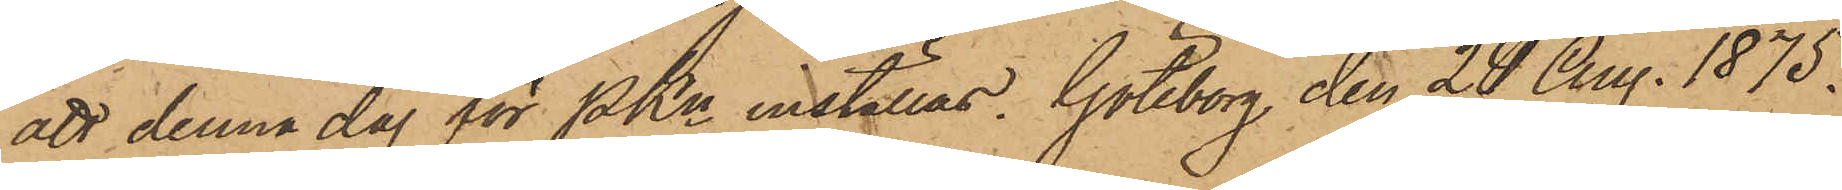att denna dag för PKn inställas. Göteborg den 24 Aug. 1875.
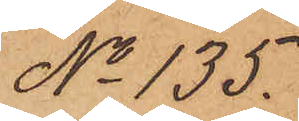No 135.
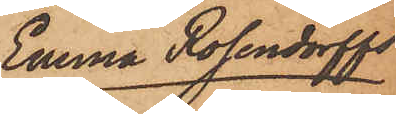Emma Rosendorffs
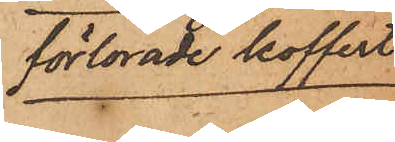förlorade koffert.
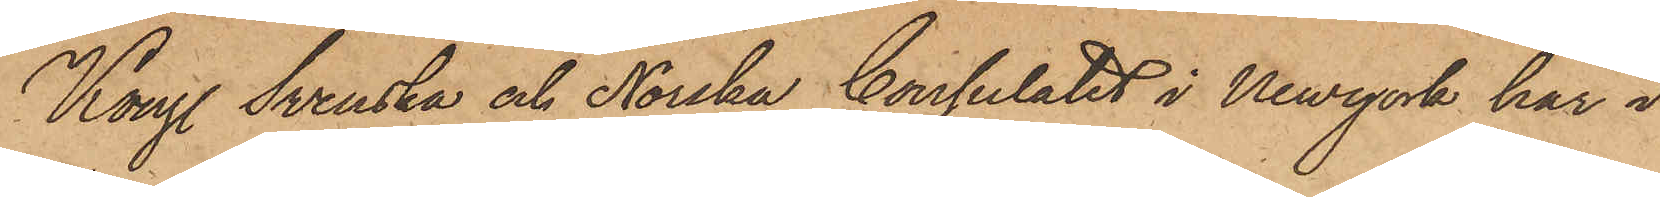Kongl. Svenska och Norska Consulatet i Newyork har i
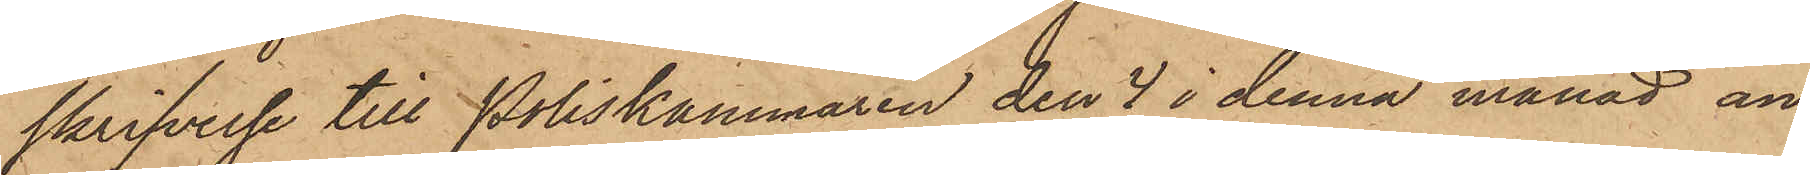skrifvelse till Poliskammaren den 4 i denna månad an¬
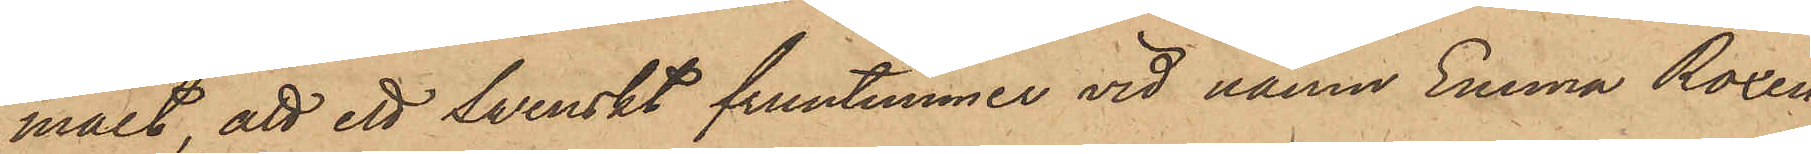mält, att ett Swenskt fruntimmer vid namn Emma Roxen¬
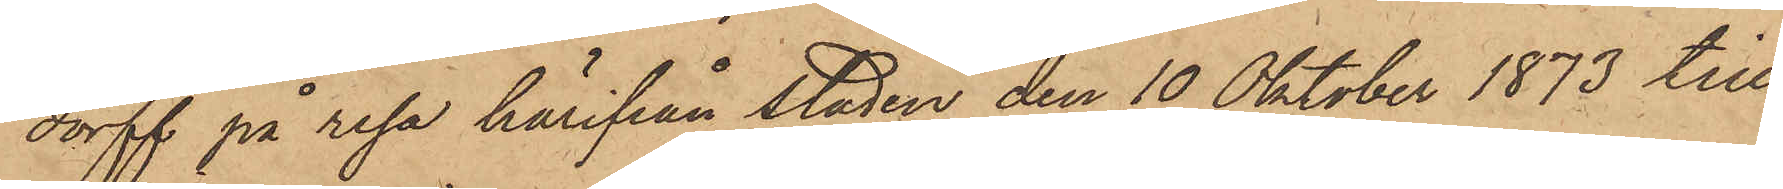dorff på resa härifrån staden den 10 Oktober 1873 till
